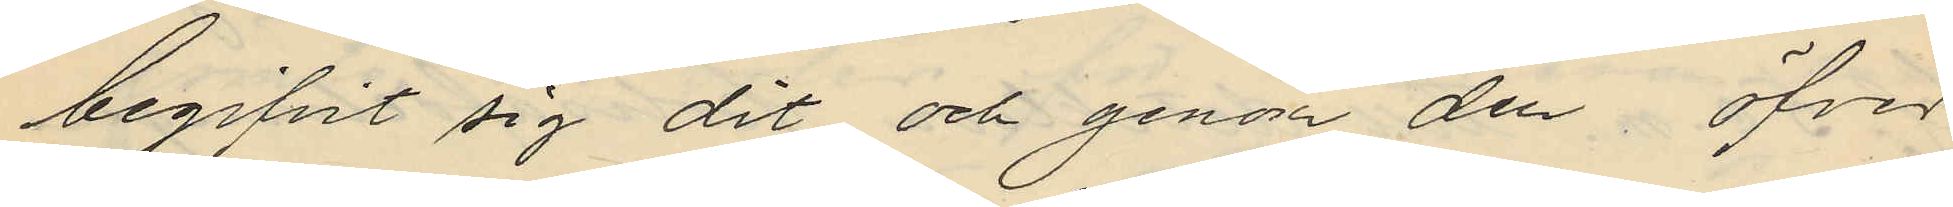begifvit sig dit och genom den öfver
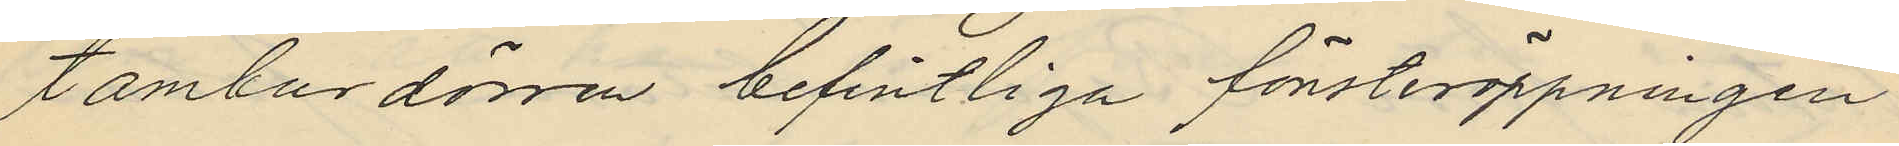tamburdörren befintliga fönsteröppningen
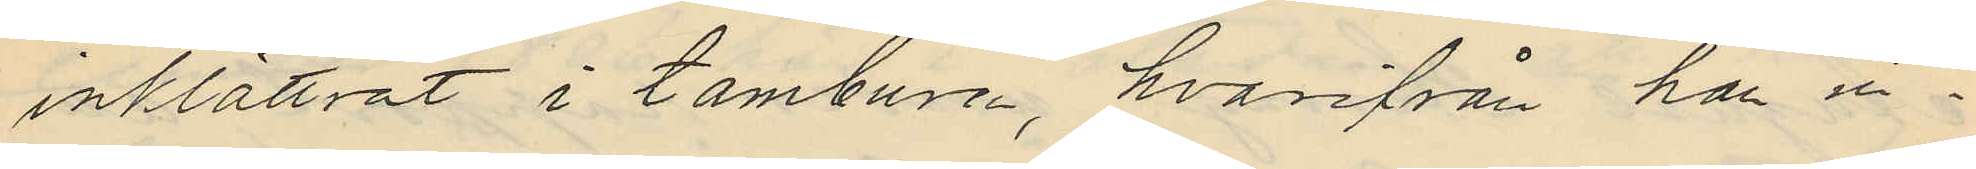inklättrat i tamburen, hvarifrån han in¬
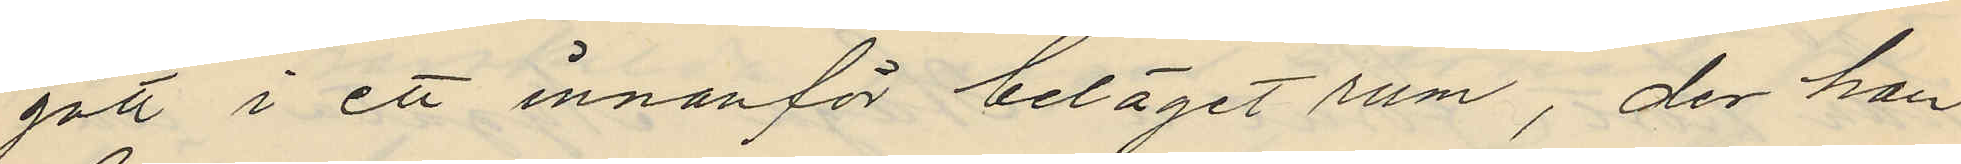gått i ett innanför beläget rum, der han
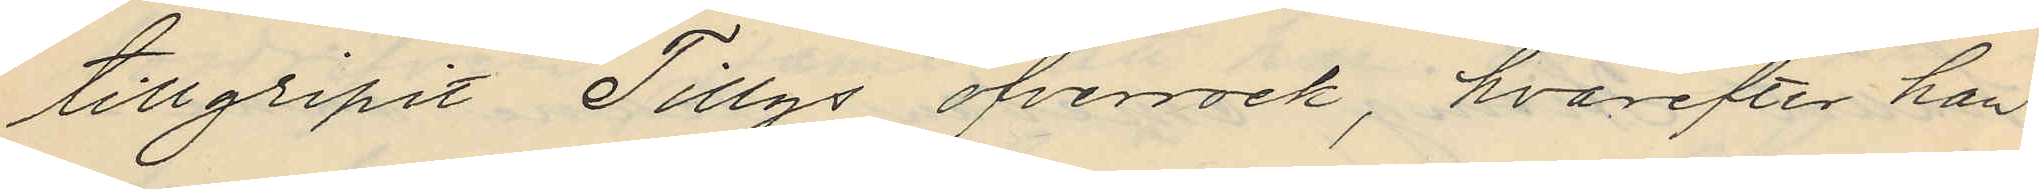tillgripit Tillys öfverrock, hvarefter han
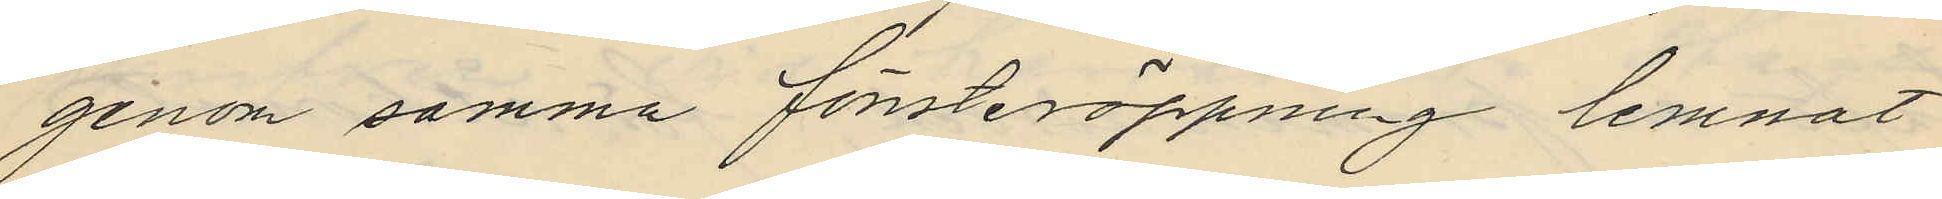genom samma fönsteröppning lemnat
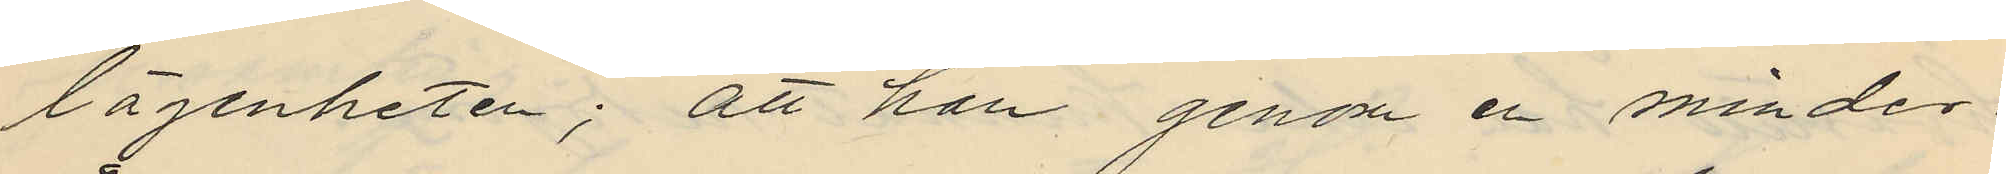lägenheten; att han genom en minder¬
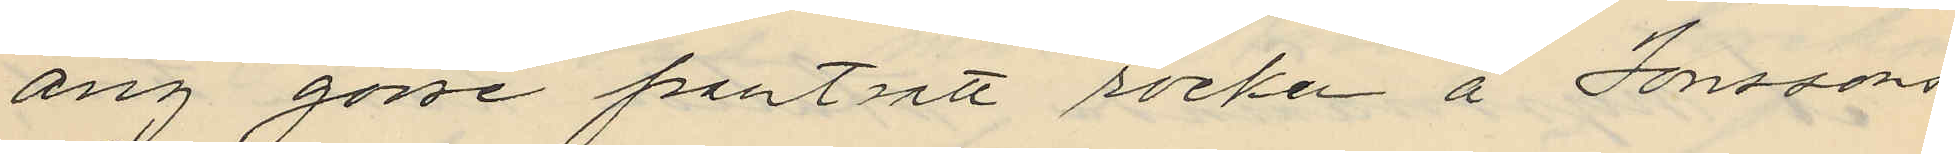årig gosse pantsatt rocken å Jonssons
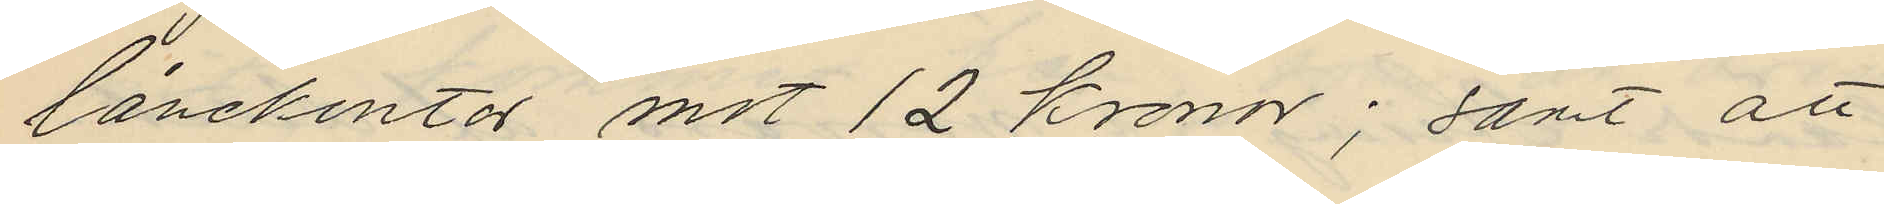lånekontor mot 12 kronor; samt att
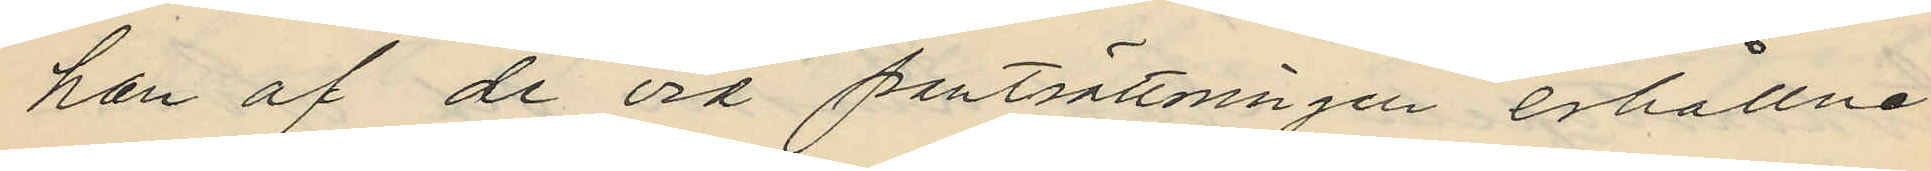han af de vid pantsättningen erhållne
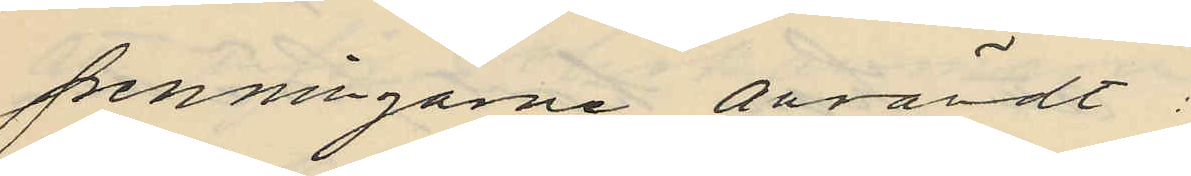penningarne anvärdt:
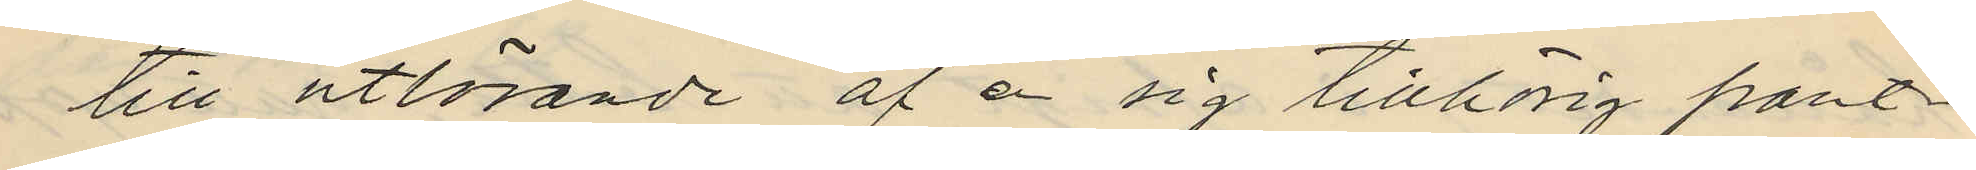till utlösande af å sig tillhörig pant¬
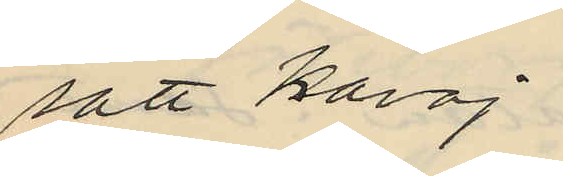satt kavaj
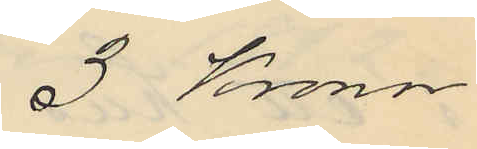3 Kronor
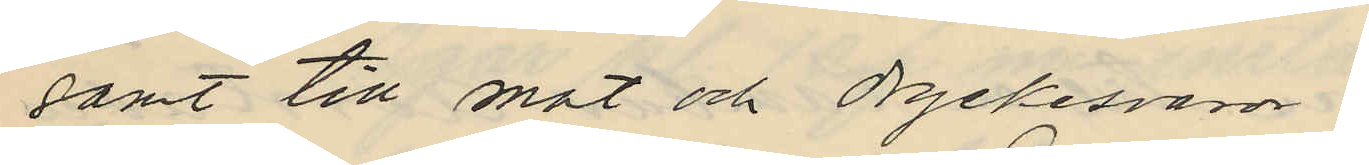samt till mat och dryckesvaror
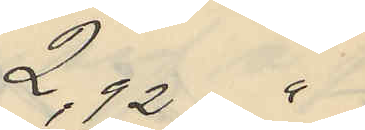2,92 "
